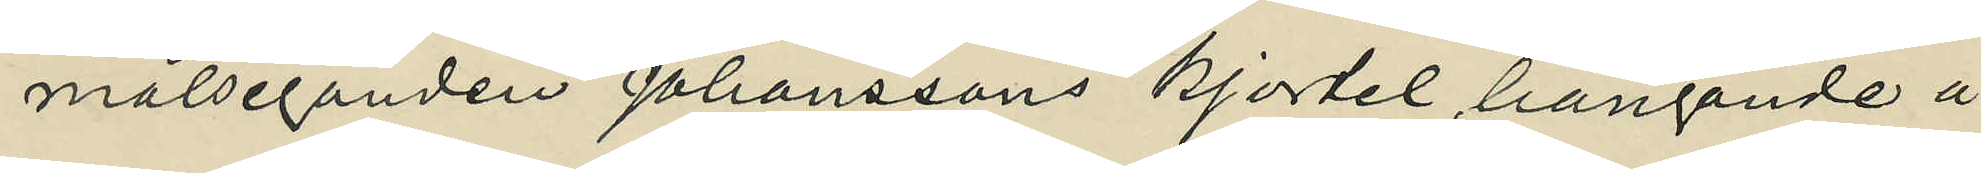målseganden Johanssons kjortel, hängande å
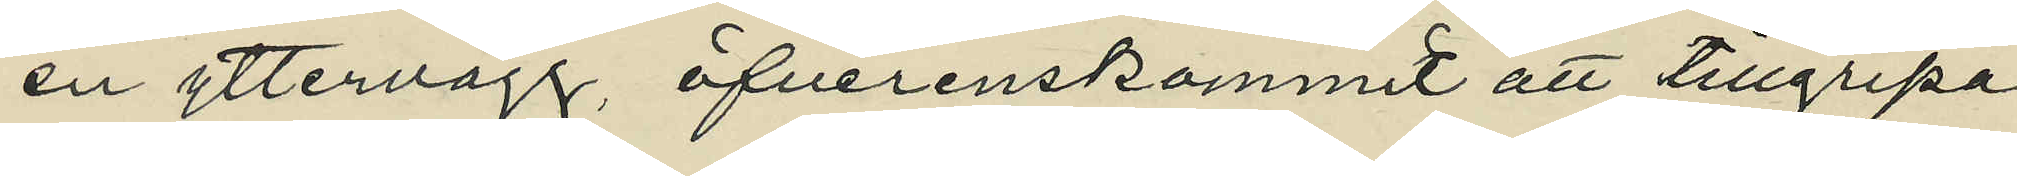en yttervägg, öfverenskommit att tillgripa
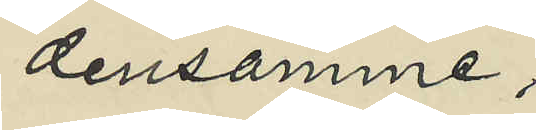densamme;
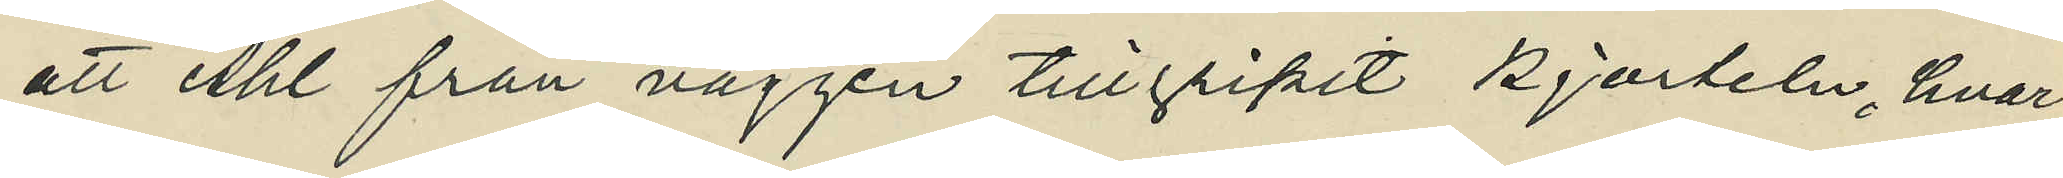att Ahl från väggen tillgripit kjorteln, hvar¬
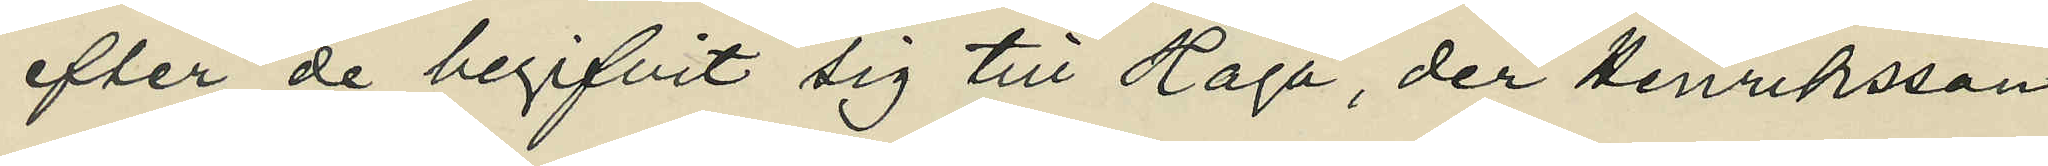efter de begifvit sig till Haga, der Henriksson
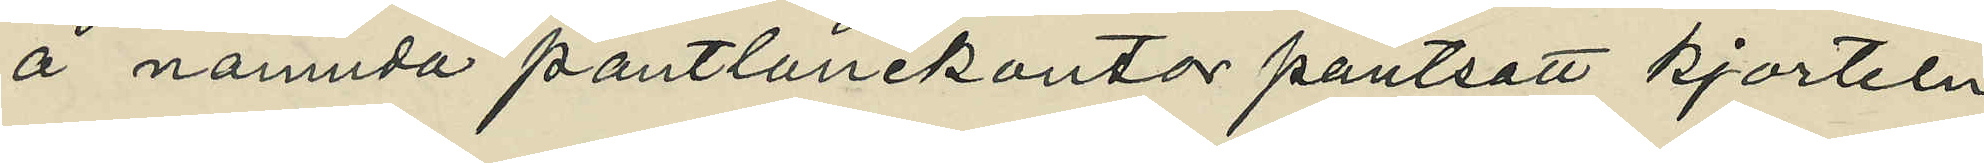å nämnda pantlånekontor pantsatt kjorteln
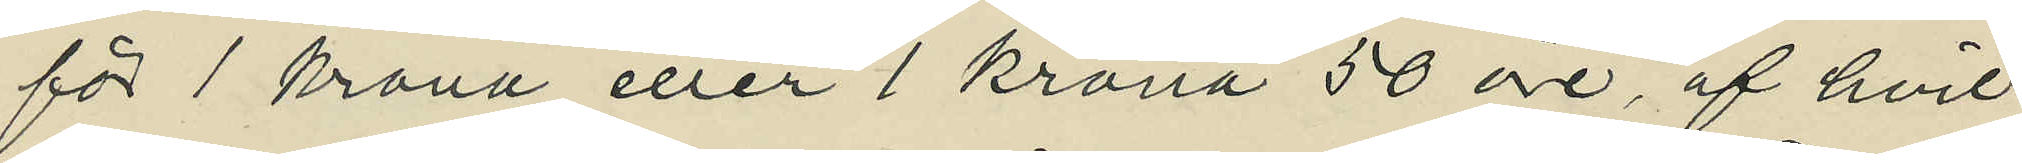för 1 krona eller 1 krona 50 öre, af hvil¬
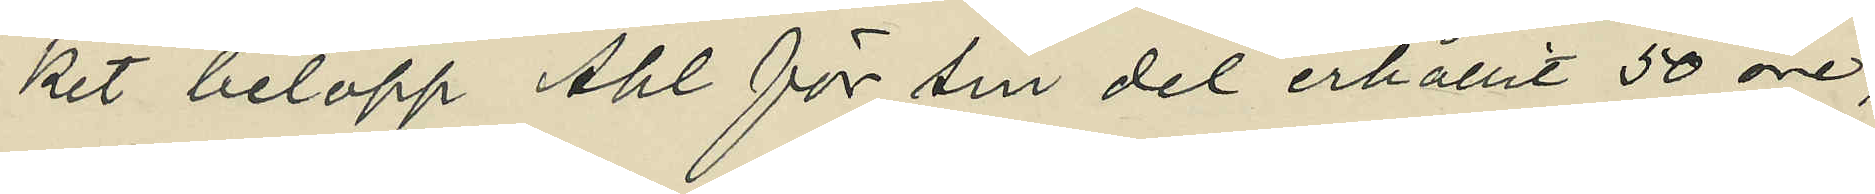ket belopp Ahl för sin del erhållit 50 öre;
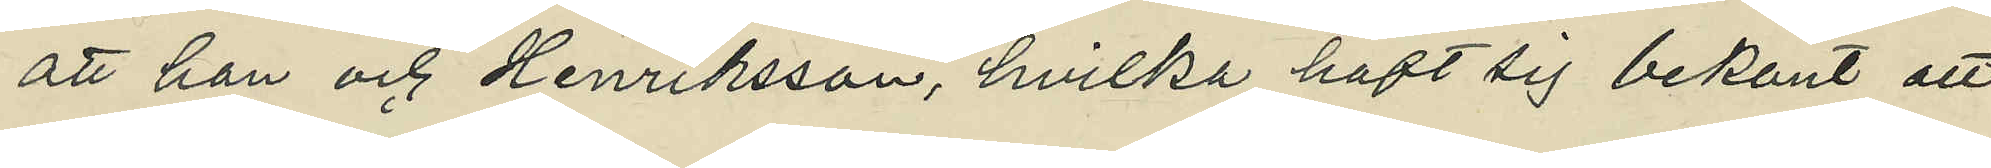att han och Henriksson, hvilka haft sig bekant att
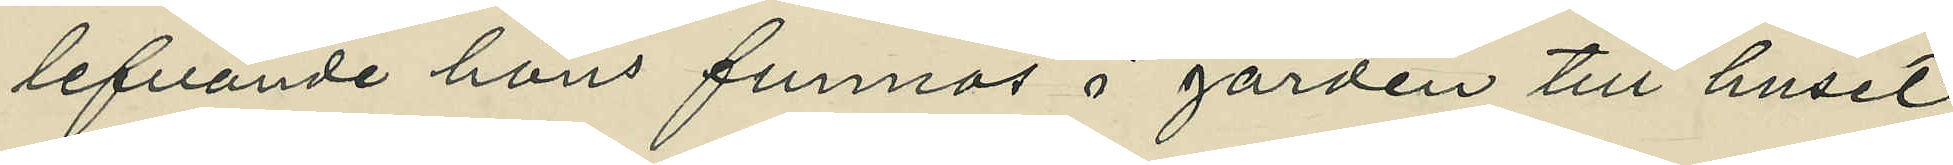lefvande höns funnos å gården till huset
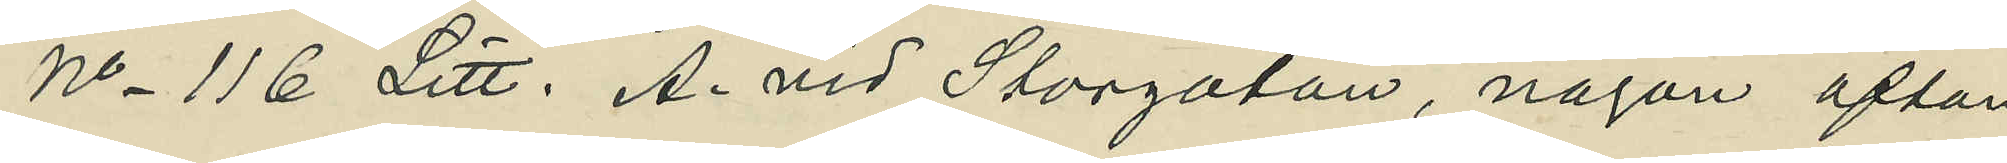No 116 Litt. A. vid Storgatan, någon afton
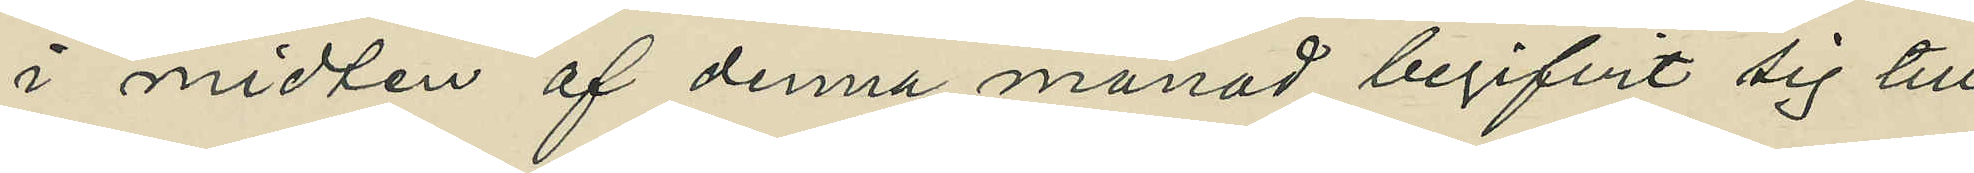i midten af denna månad begifvit sig till
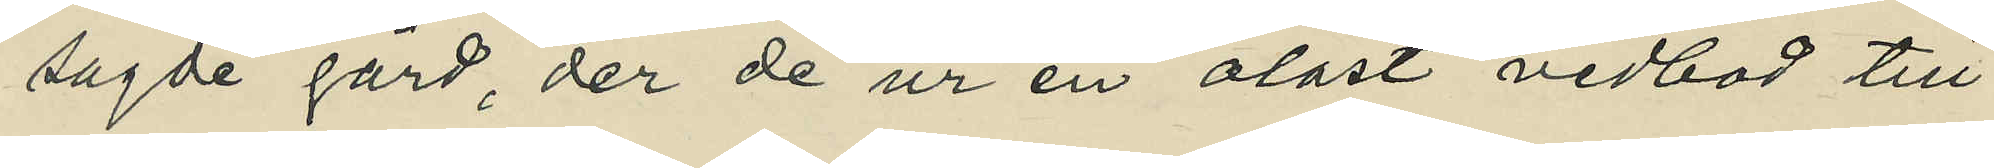sagde gård, der de ur en olåst vedbod till¬
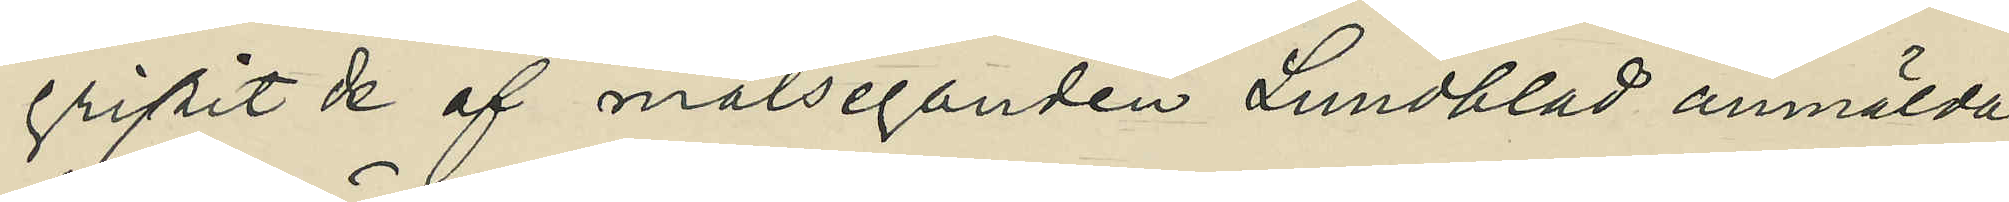gripit de af målseganden Lundblad anmälda
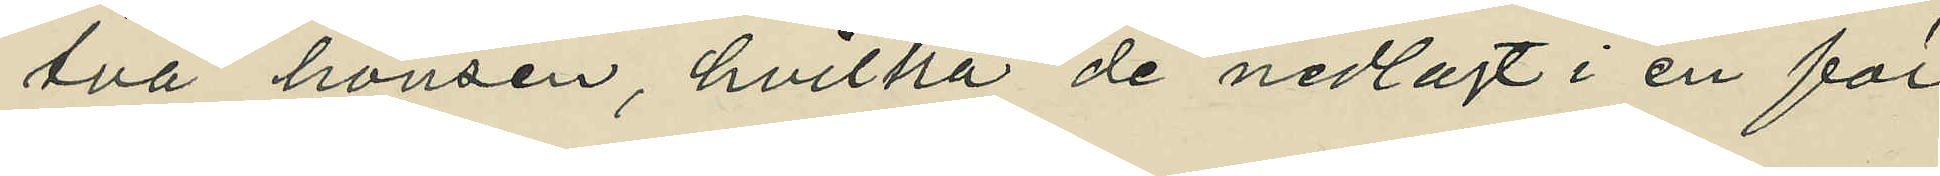två hönsen, hvilka de nedlagt i en för
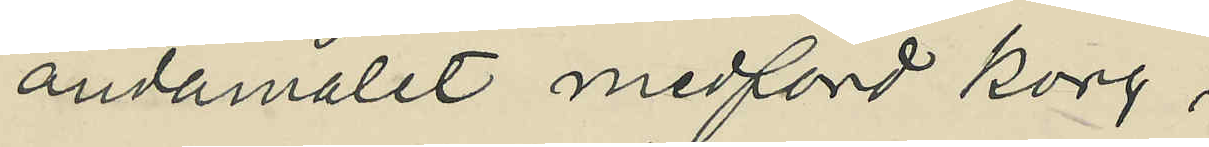ändamålet medförd korg;
